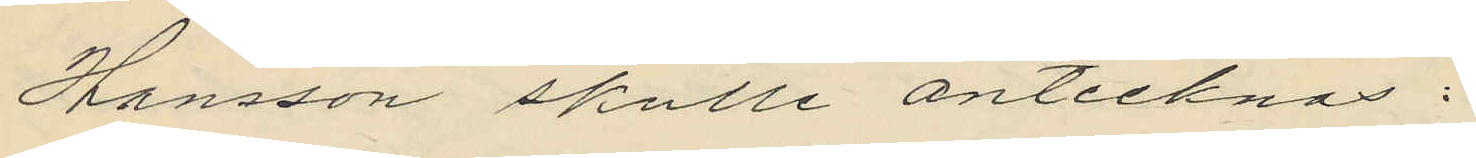Hansson skulle antecknas:
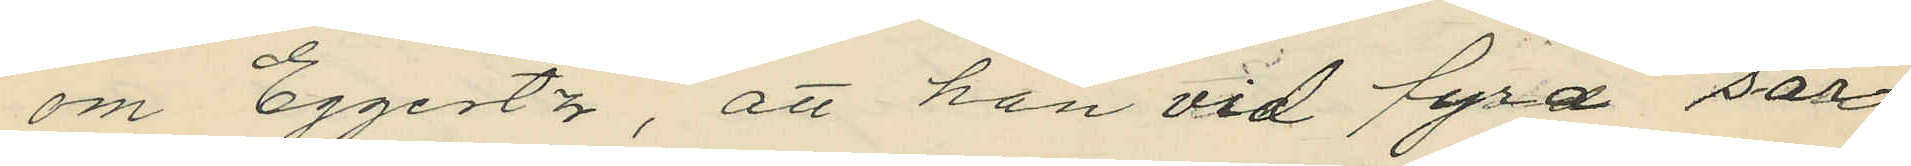om Eggertz, att han vid fyra sär¬
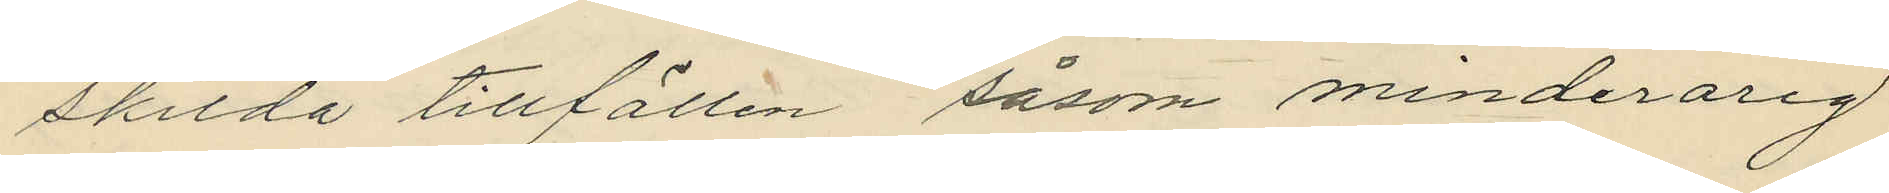skilda tillfällen såsom minderårig
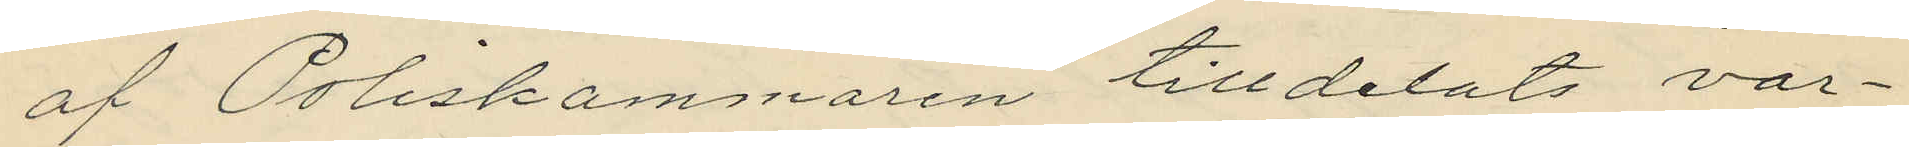af Poliskammaren tilldelats var¬
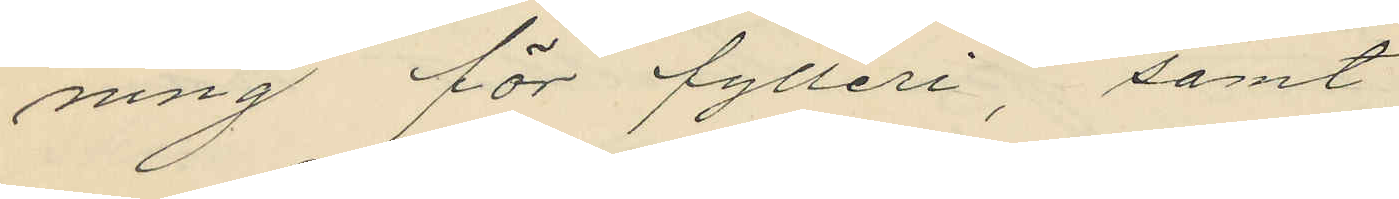ning för fylleri, samt
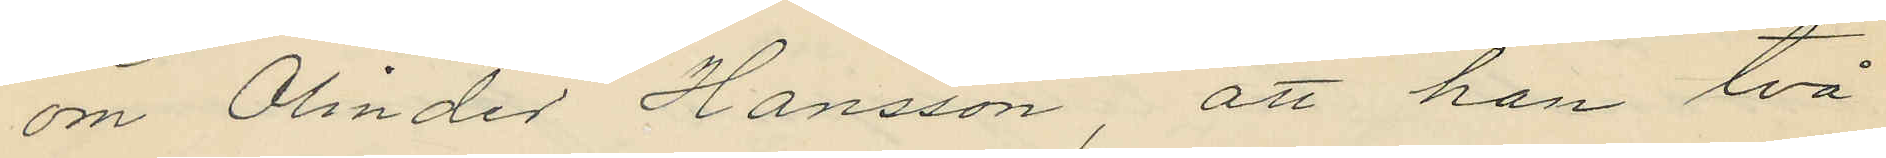om Olinder Hansson, att han två
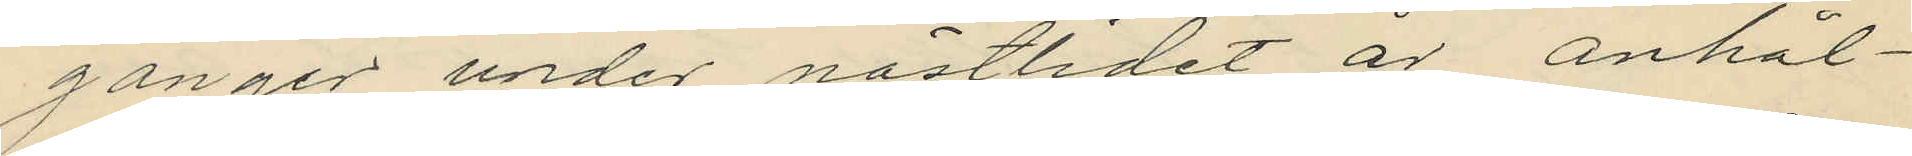gånger under nästlidet år anhål¬
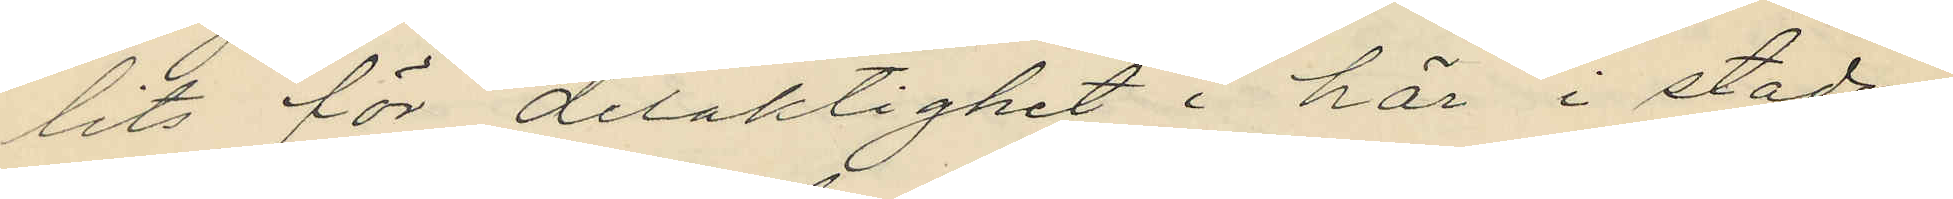lits för delaktighet i här i staden
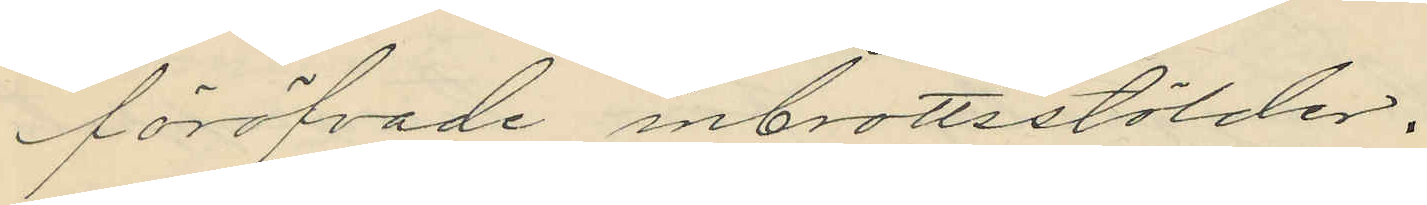föröfvade inbrottsstölder.
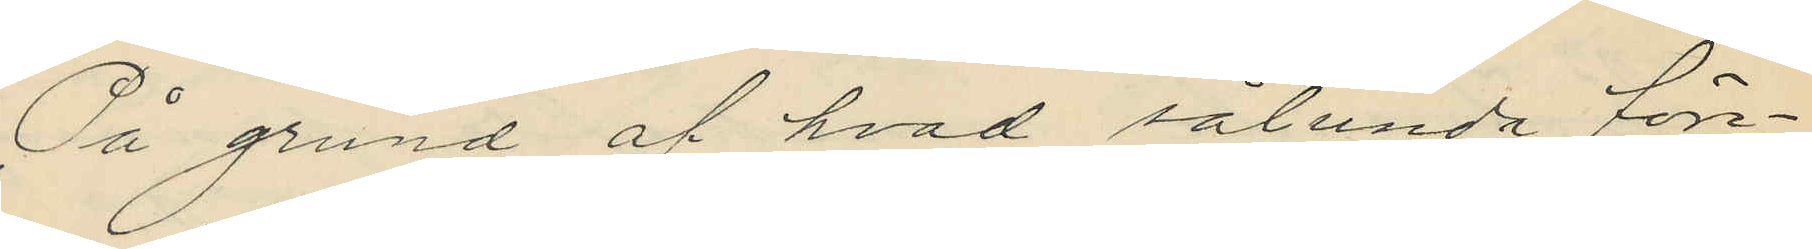På grund af hvad sålunda före¬
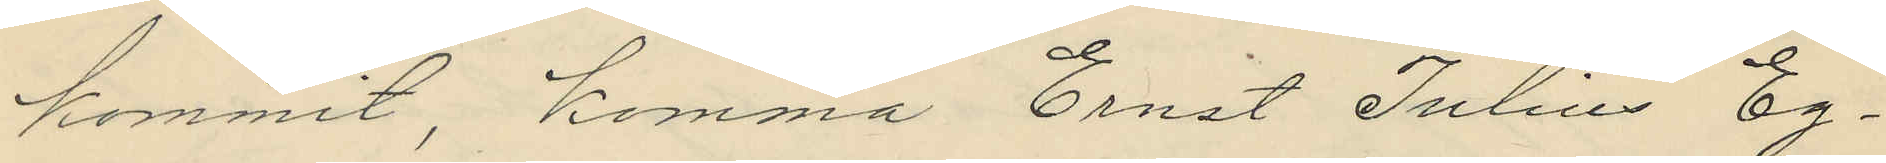kommit, komma Ernst Julius Eg¬
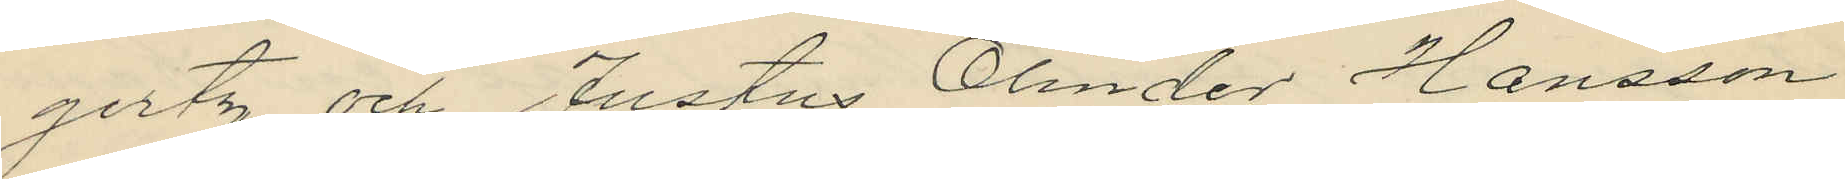gertz och Justus Olinder Hansson
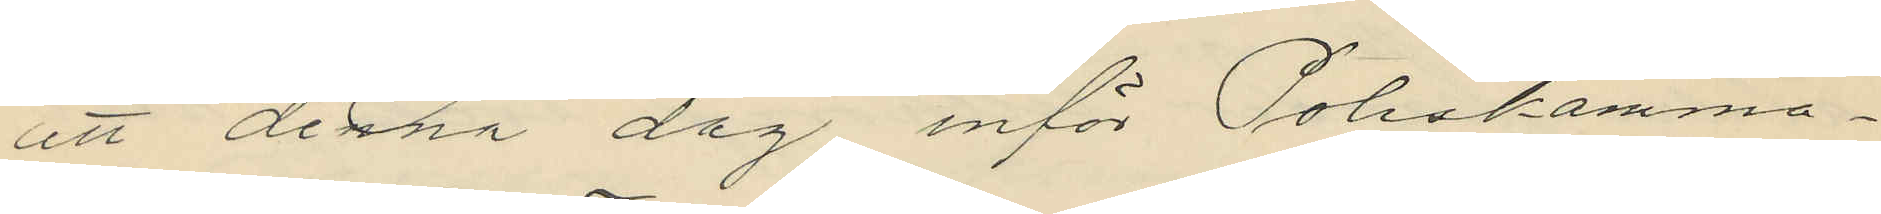att denna dag inför Poliskamma¬
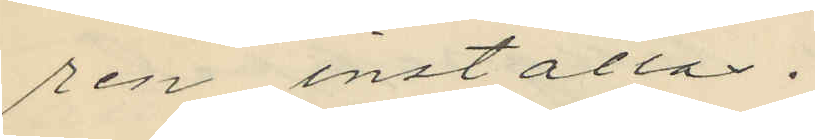ren inställas.
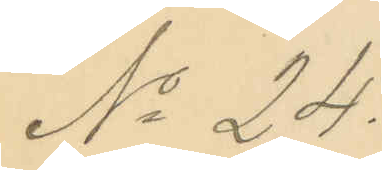No 24.
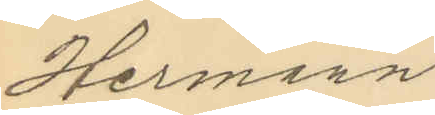Hermann
